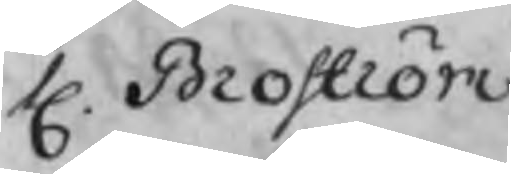H. Broström
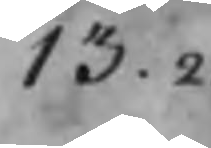13.2
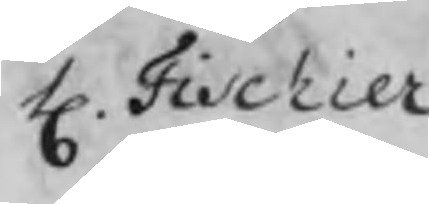H. Fischier
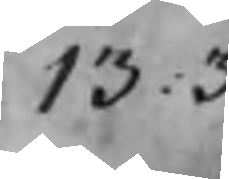13.3
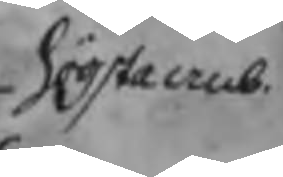högsta anb.
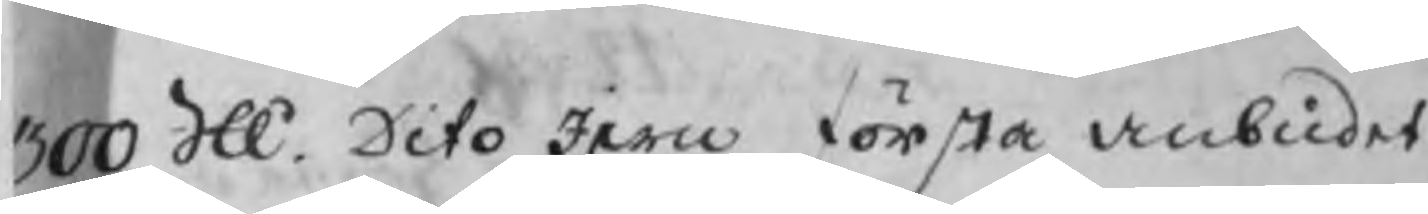300 SU Dito Jern första anbudet
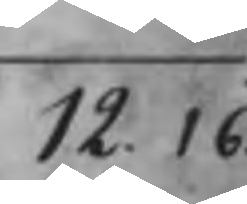12.16
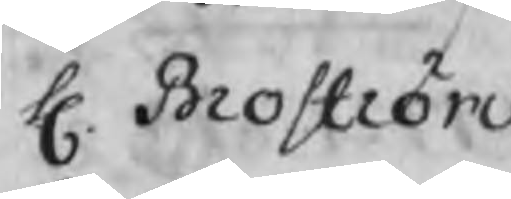H. Broström
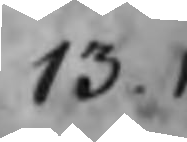13.1
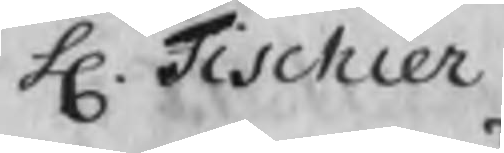H. Fischier
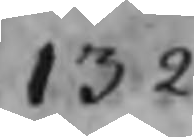13.2
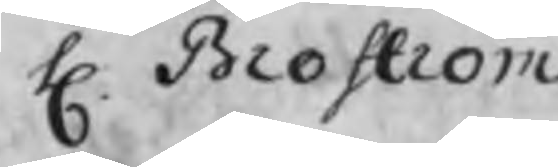H. Broström
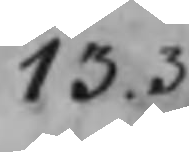13.3
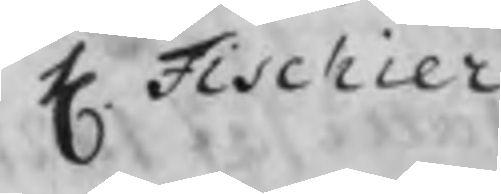H. Fischier
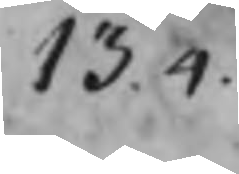13.4
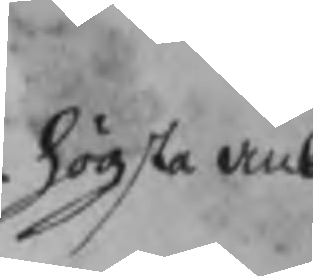högsta anb.
